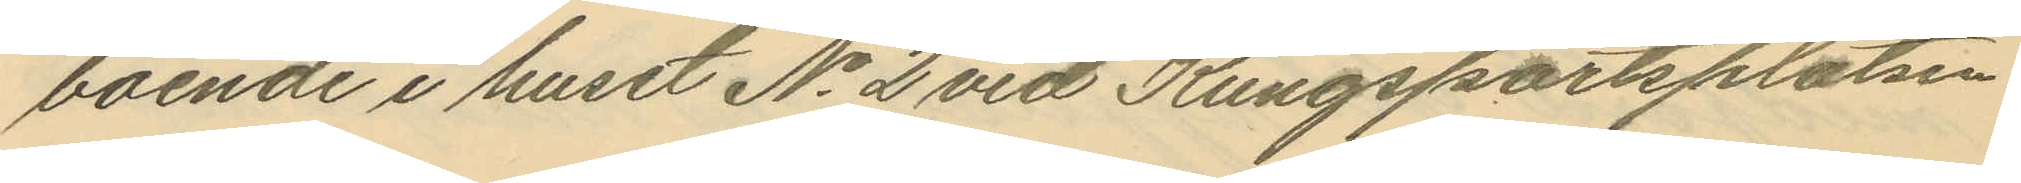boende i huset No 2 vid Kungsportsplatsen
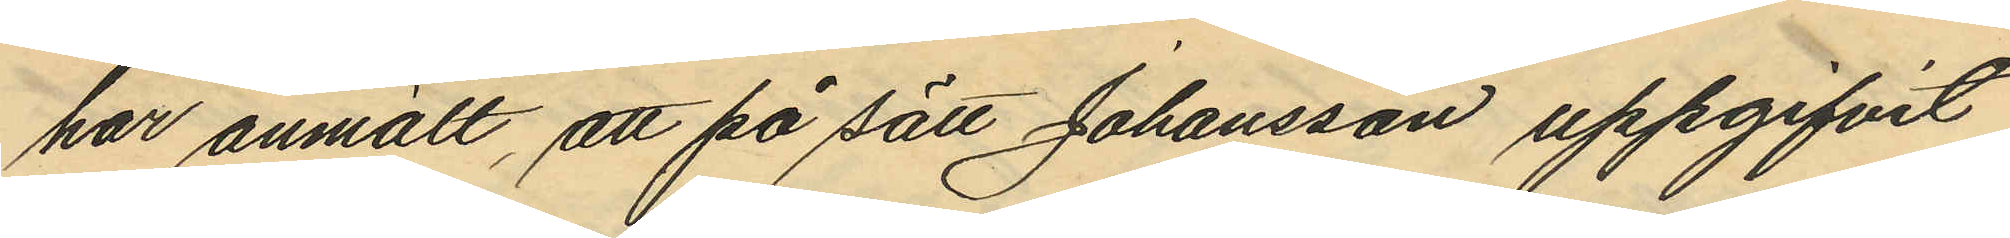har anmält, att på sätt Johansson uppgifvit
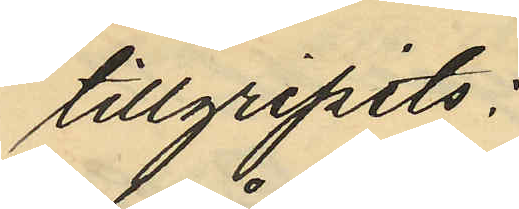tillgripits:
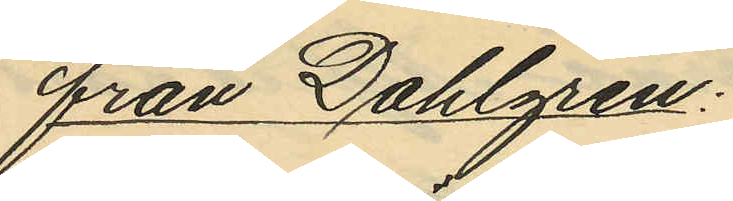från Dahlgren:
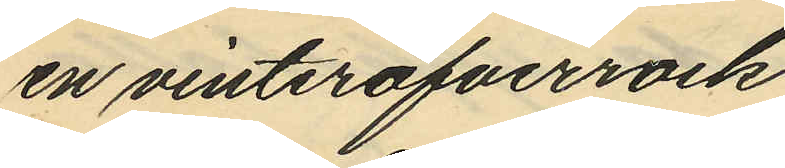en vinteröfverrock
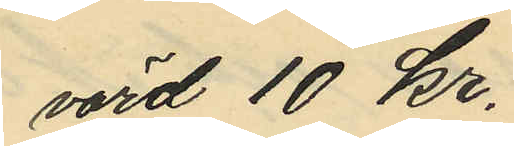värd 10 kr.
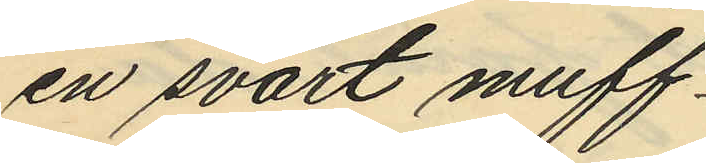en svart muff
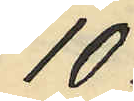10
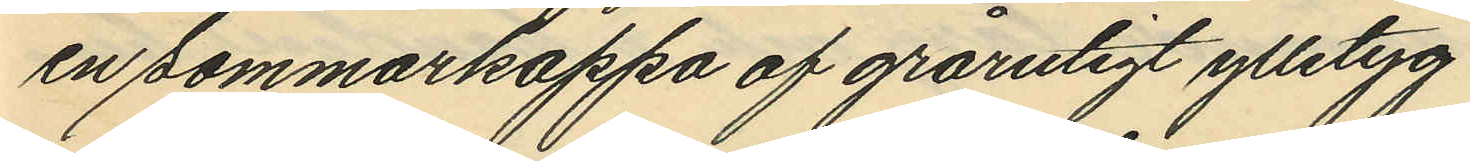en sommarkappa af grårutigt ylletyg
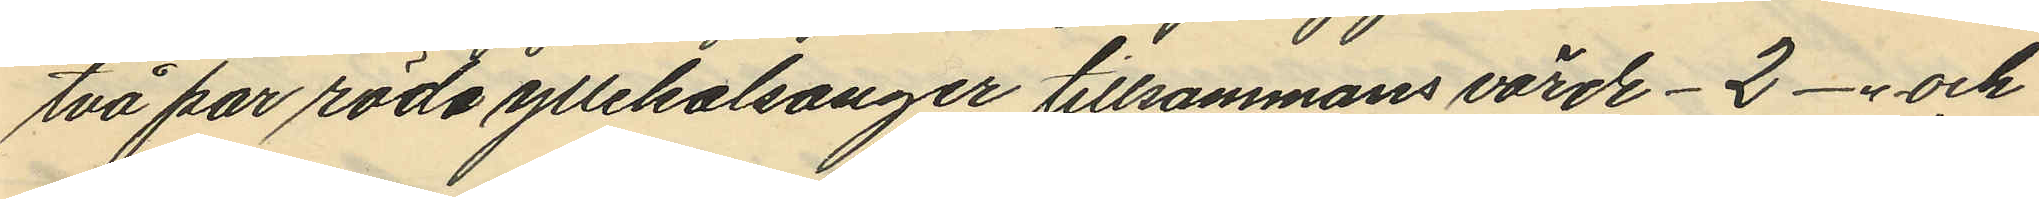två par röda yllekalsonger tillsammans värde - 2 -"- och
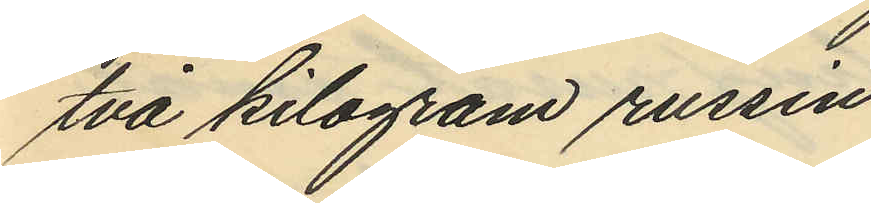två kilogram russin
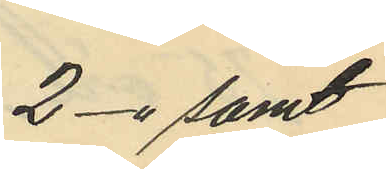2 -" samt
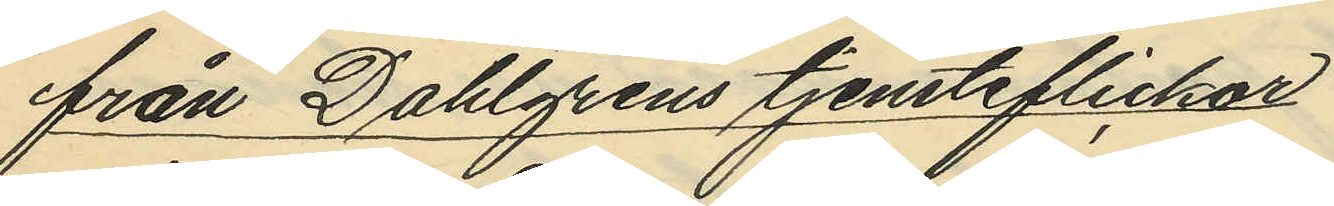från Dahlgrens tjensteflickor
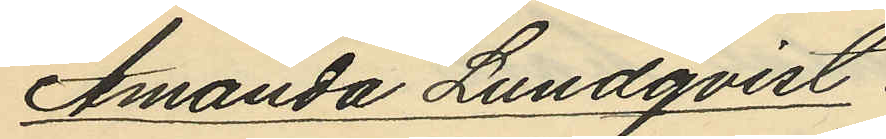Amanda Lundqvist
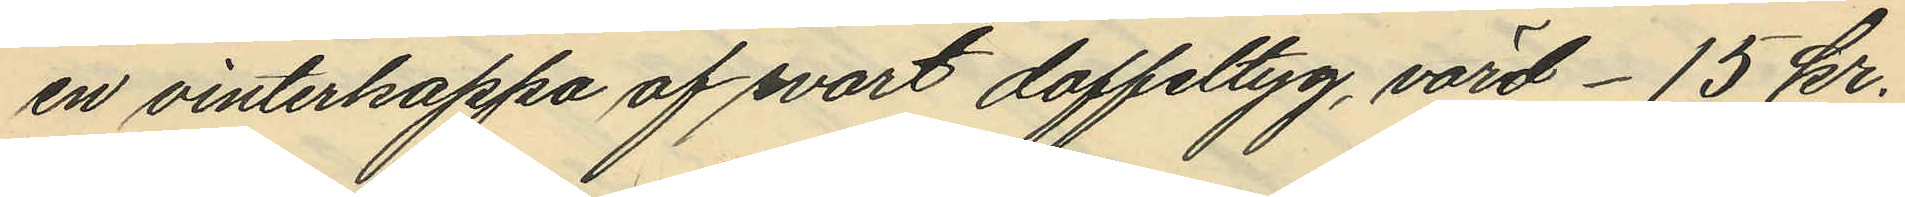en vinterkappa af svart doffeltyg, värd - 15 kr.
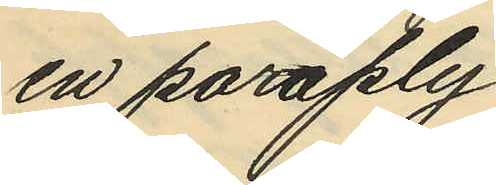en paraply
